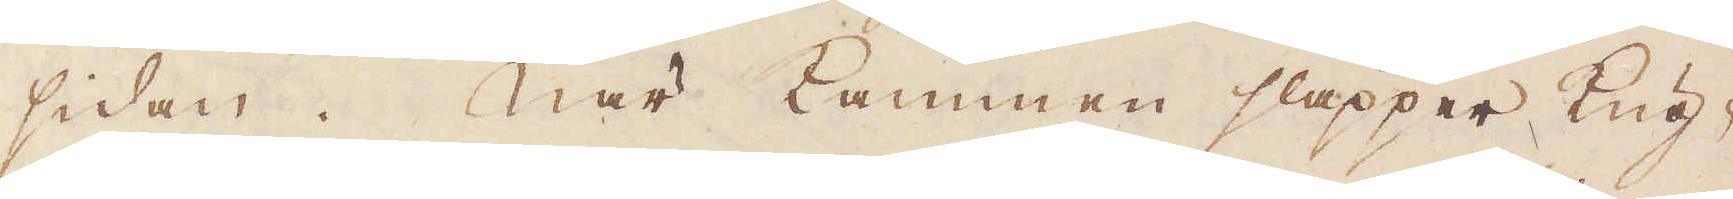sidan. När Kammen släpper kug-
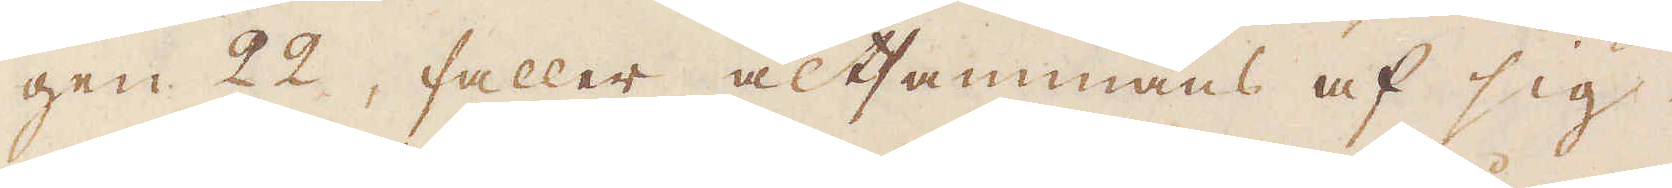gen 22, faller altsammans af sig
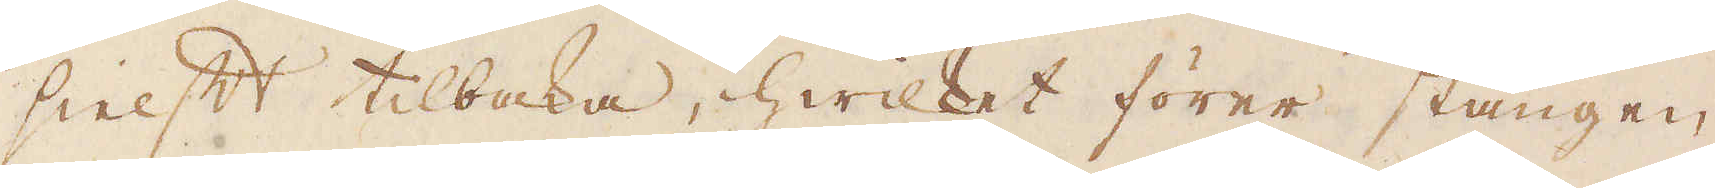sielft tillbaka, hwilket förer stången
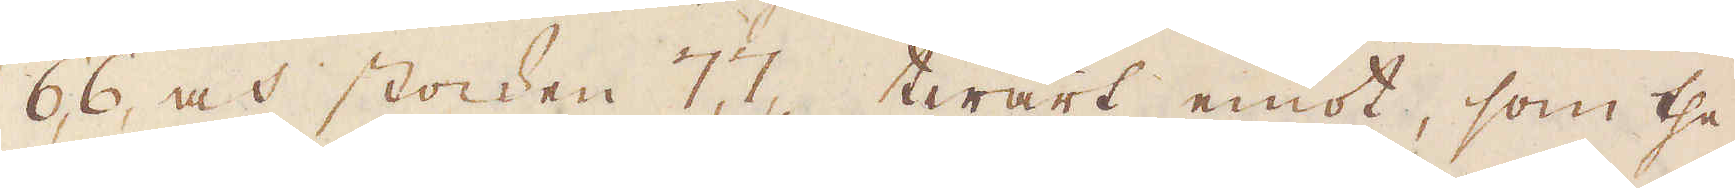66, och stocken 77, twärt emot, som the
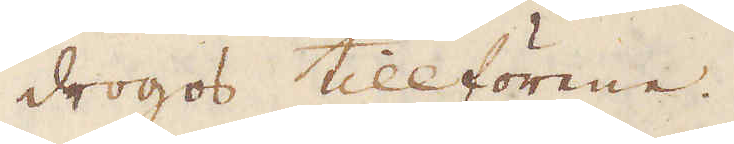drogos tillförene.
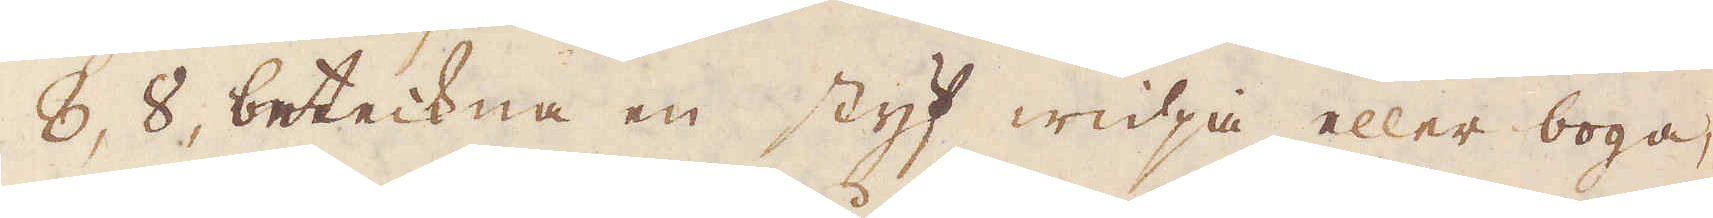8, 8, beteckna en Styf widja eller boga,
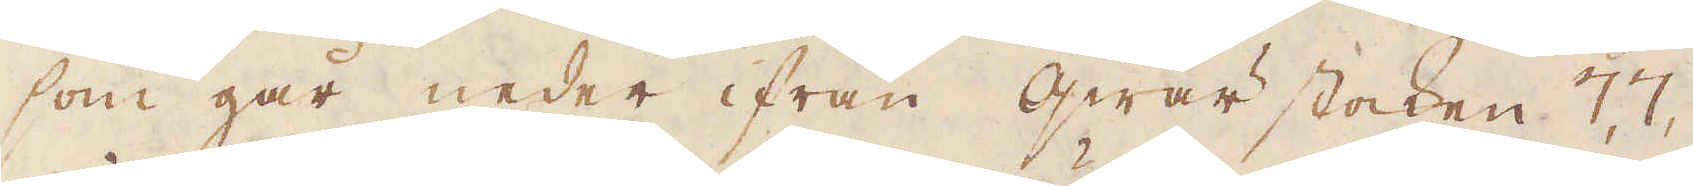som går neder ifrån qwär stocken 7,7,
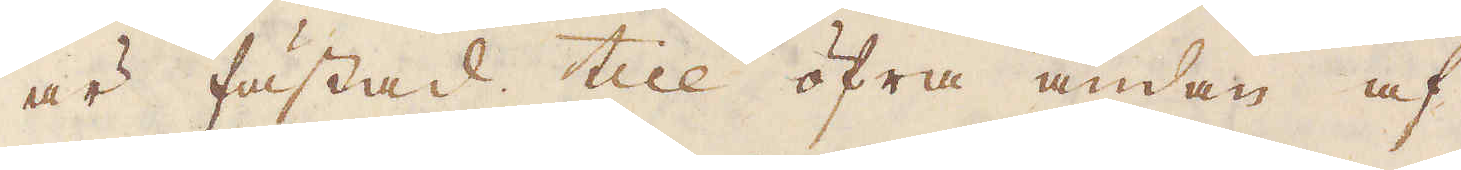är fästad till öfra ändan af
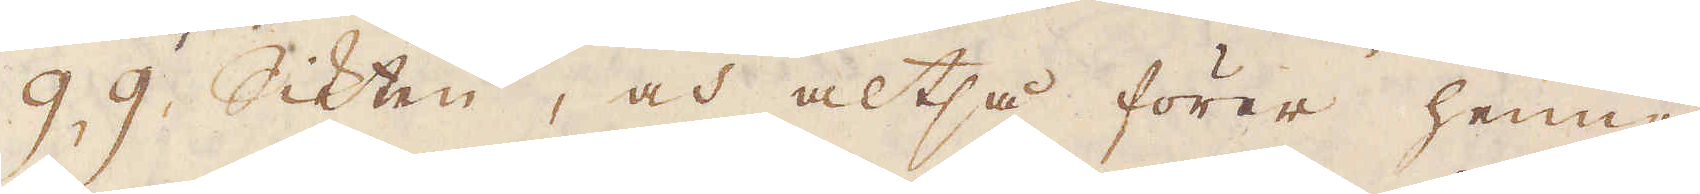9. 9. Sikten, och altså förer henne
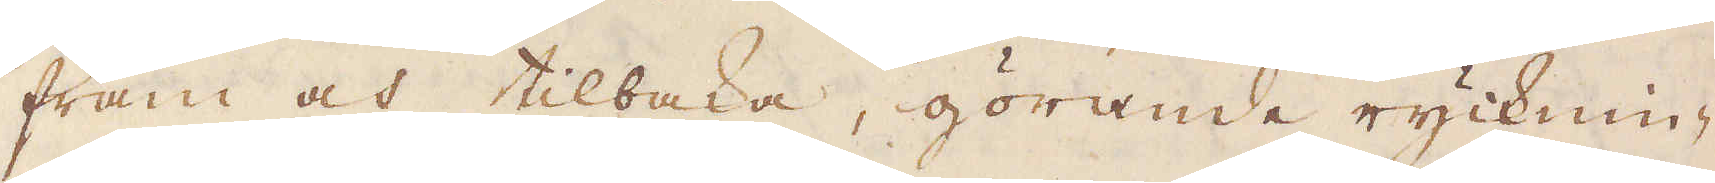fram och tillbaka, görande rycknin-
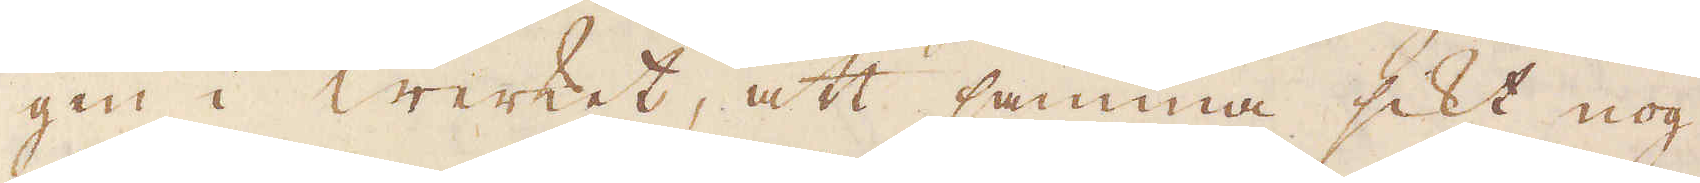gen i werket, att samma sikt nog
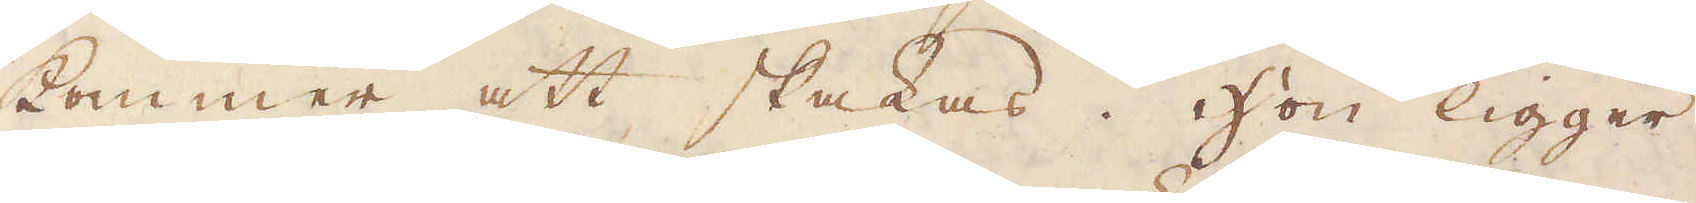kommer att skakas. Hon ligger
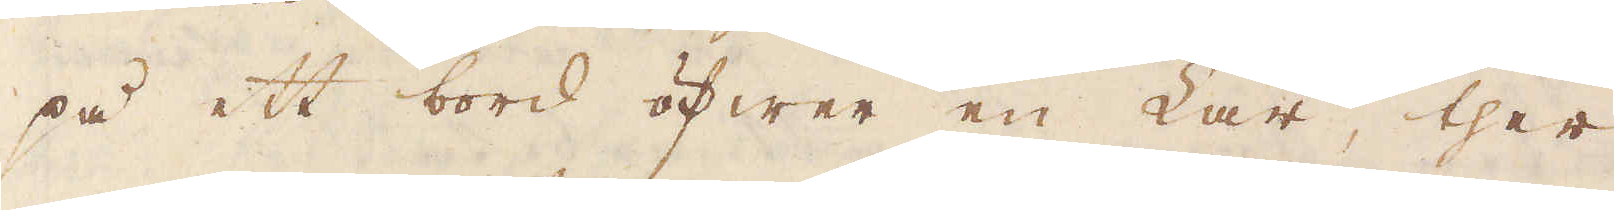på ett bord öfwer en Lår, ther
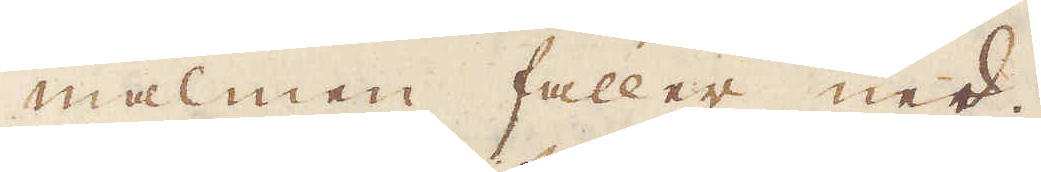malmen faller ned.
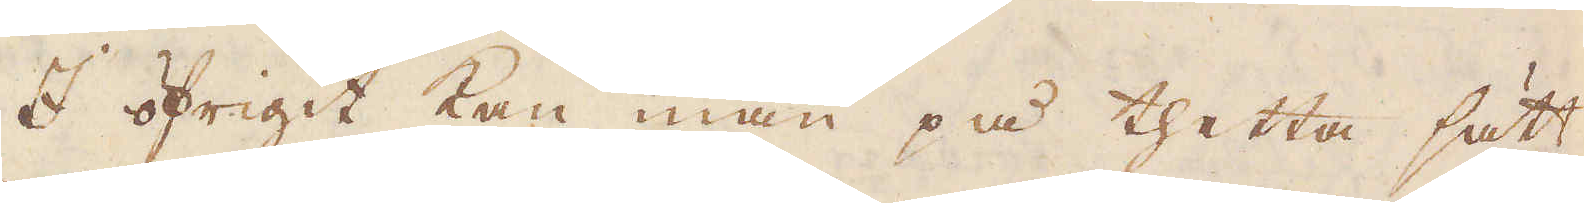I öfrigit kan man på thetta sätt
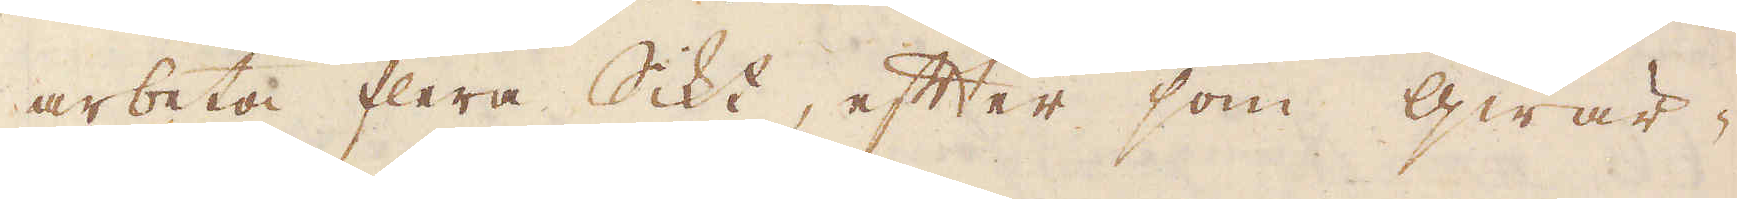arbeta flera Sikt, efter som qwär-
